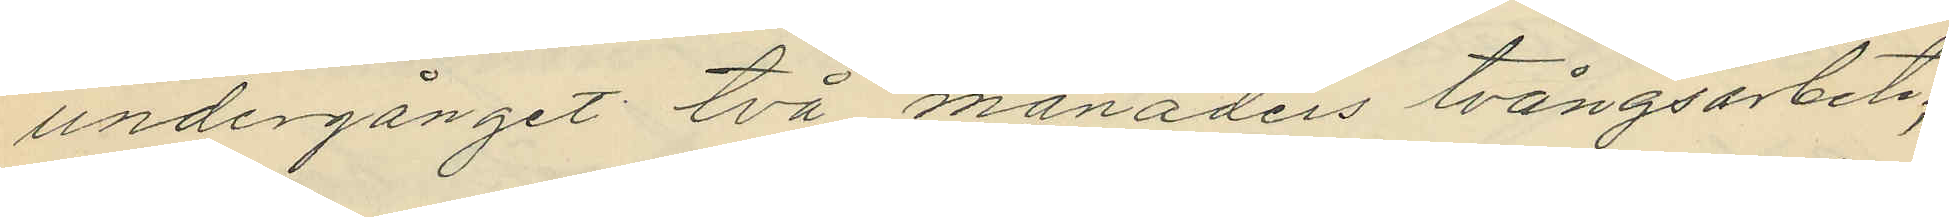undergånget två månaders tvångsarbete;
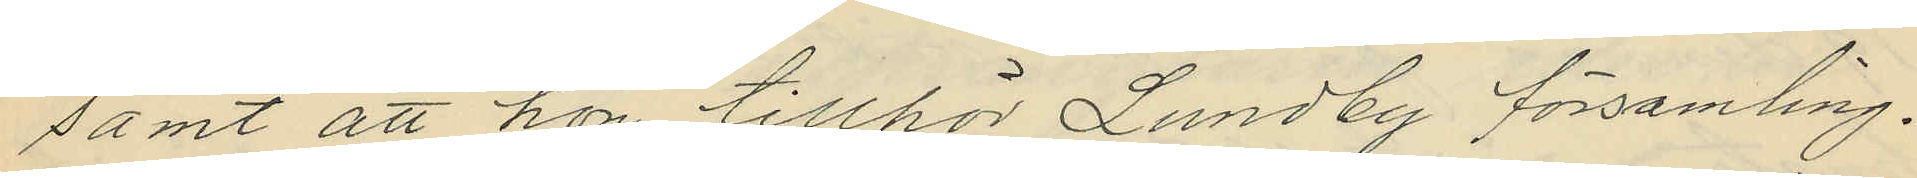samt att hon tillhör Lundby församling.
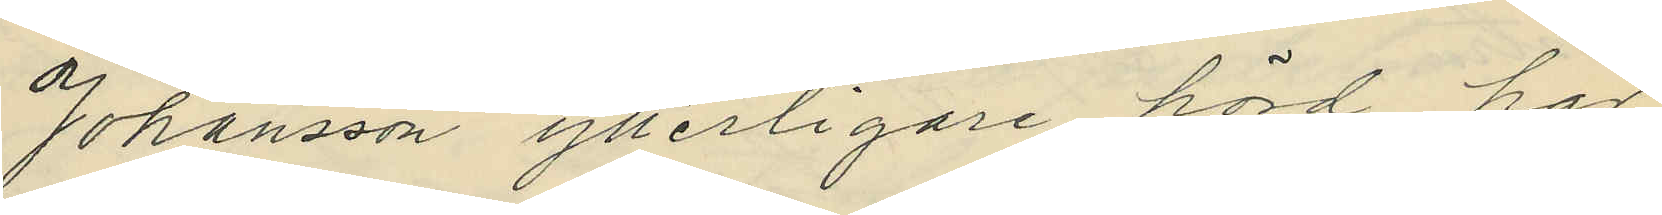Johansson ytterligare hörd har
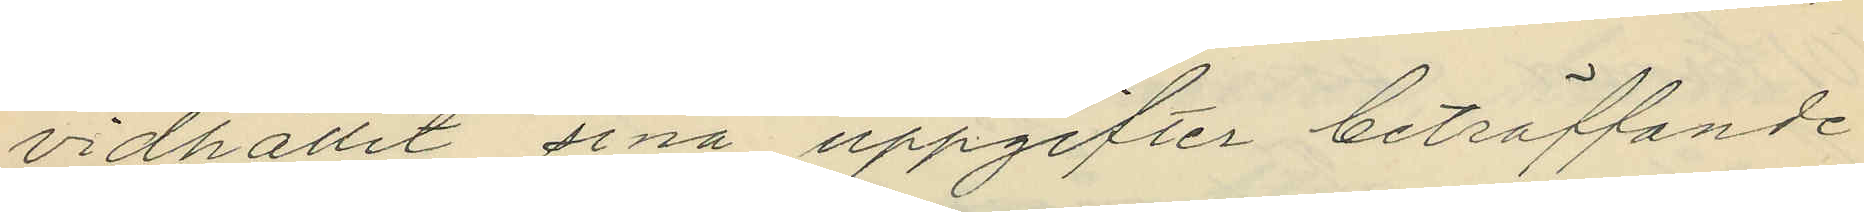vidhållit sina uppgifter beträffande
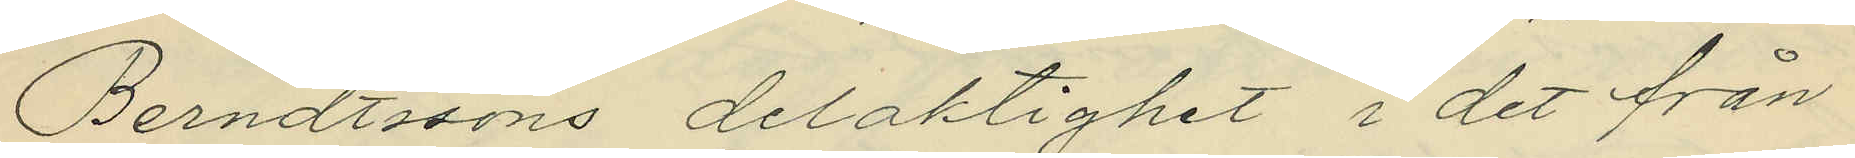Berndtssons delaktighet i det från
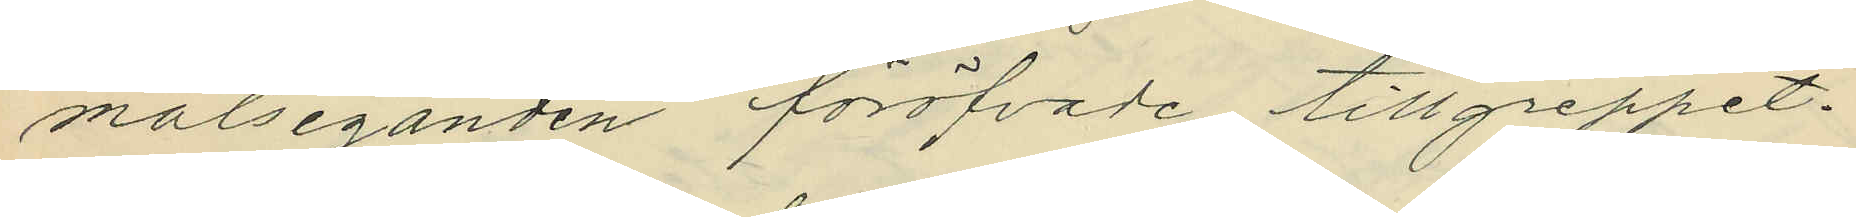målseganden föröfvade tillgreppet.
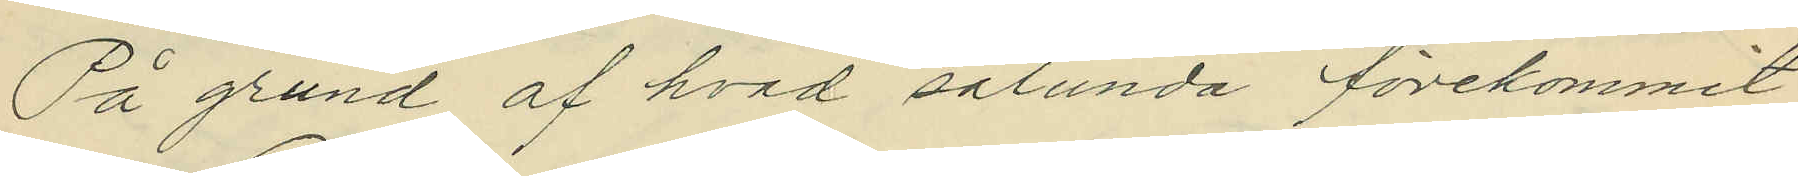På grund af hvad sålunda förekommit
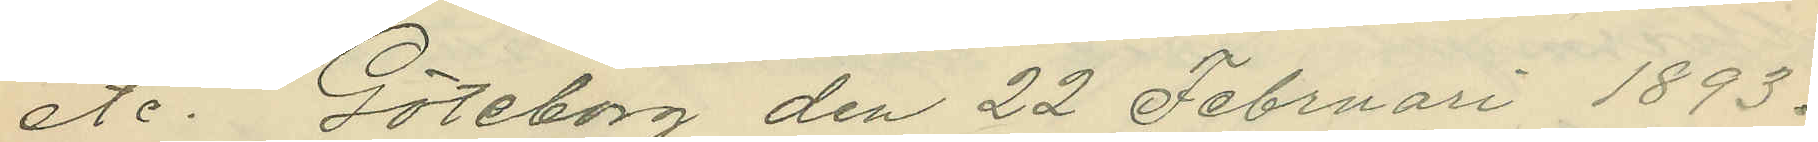etc. Göteborg den 22 Februari 1893.
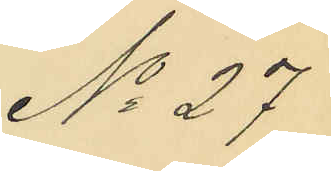No 27
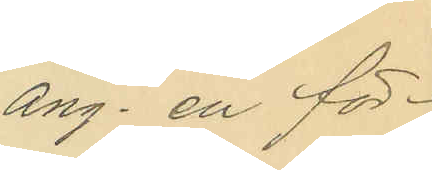ang. en för¬
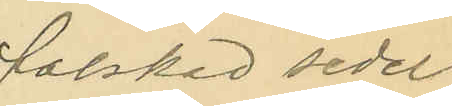falskad sedel
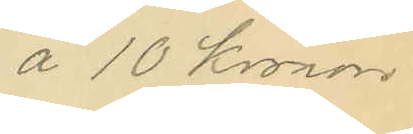å 10 Kronor
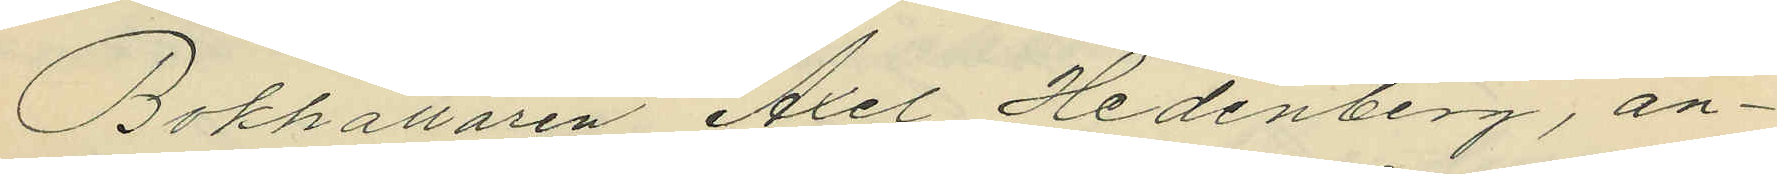Bokhållaren Axel Hedenberg, an¬
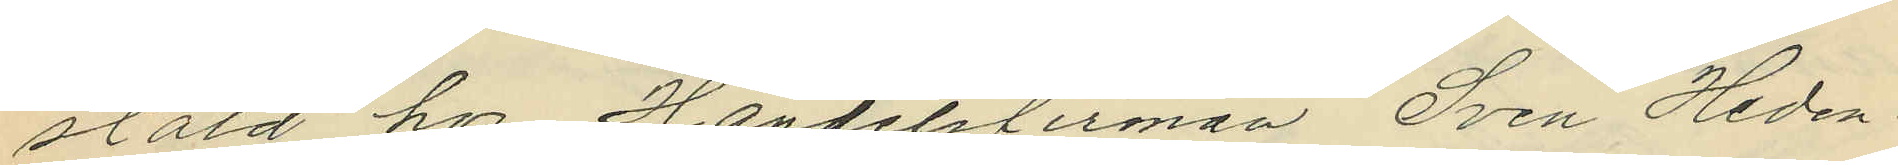stäld hos Handelsfirman Sven Heden¬
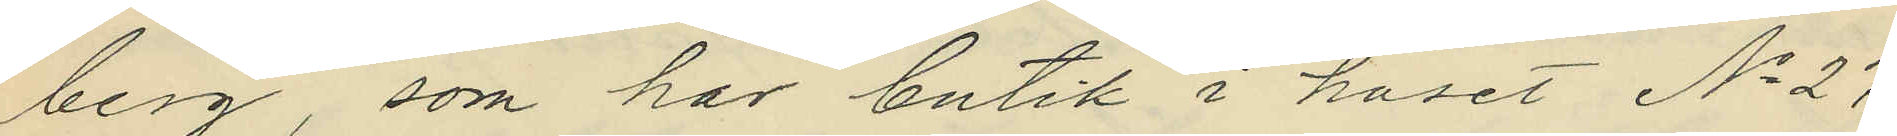berg, som har butik i huset No 27
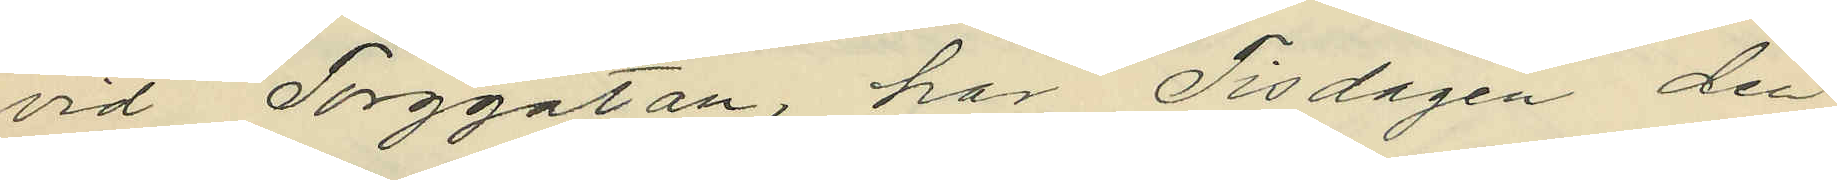vid Torggatan, har Tisdagen den
